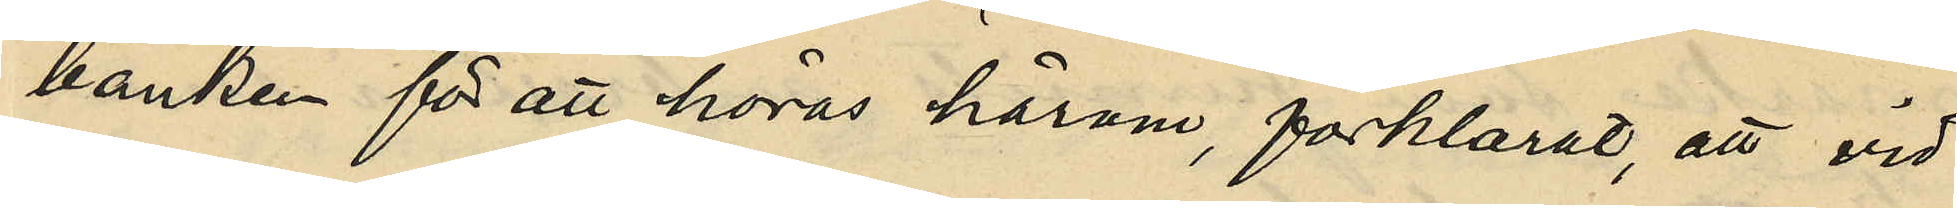banken för att höras härom, förklarat, att vid
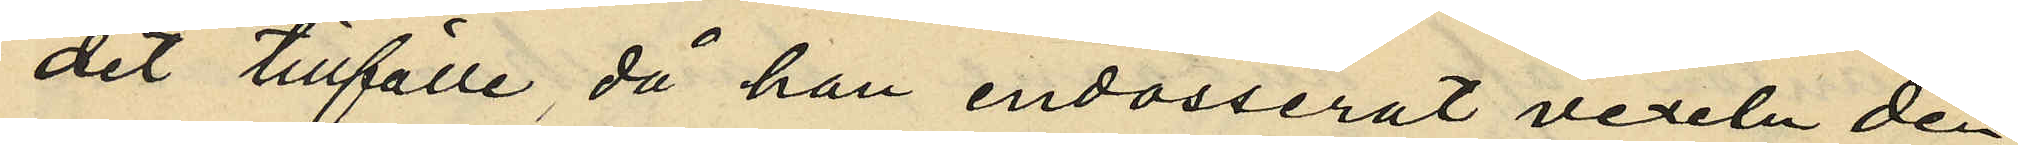det tillfälle, då han endosserat vexeln den
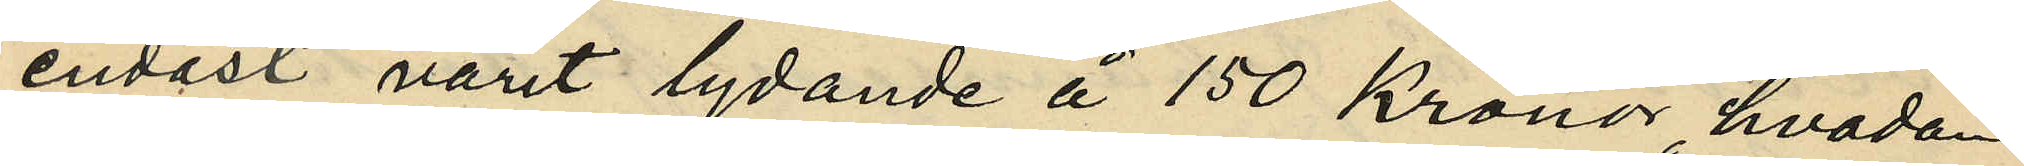endast varit lydande å 150 Kronor, hvadan
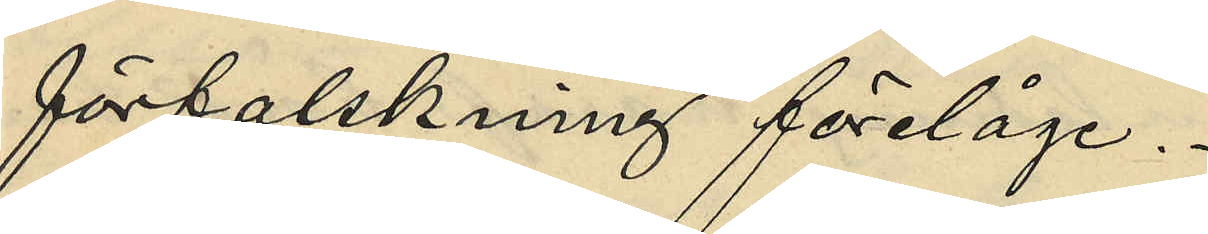förfalskning förelåge.
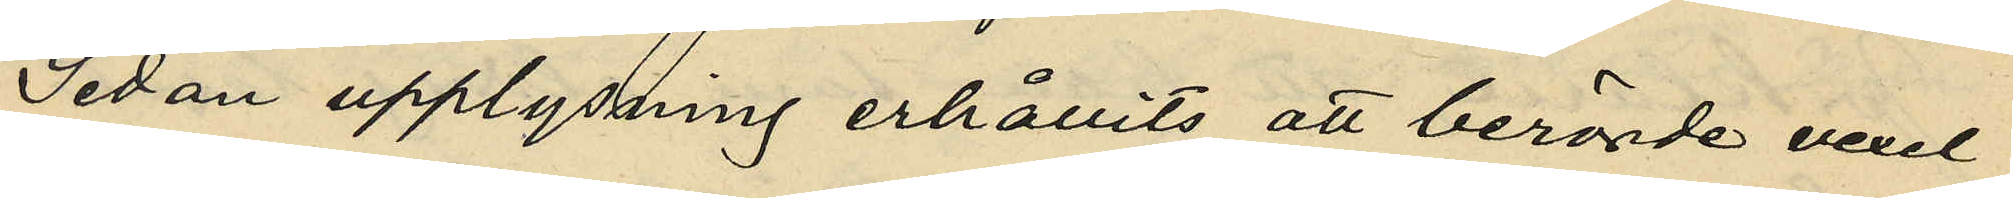Sedan upplysning erhållits att berörde vexel
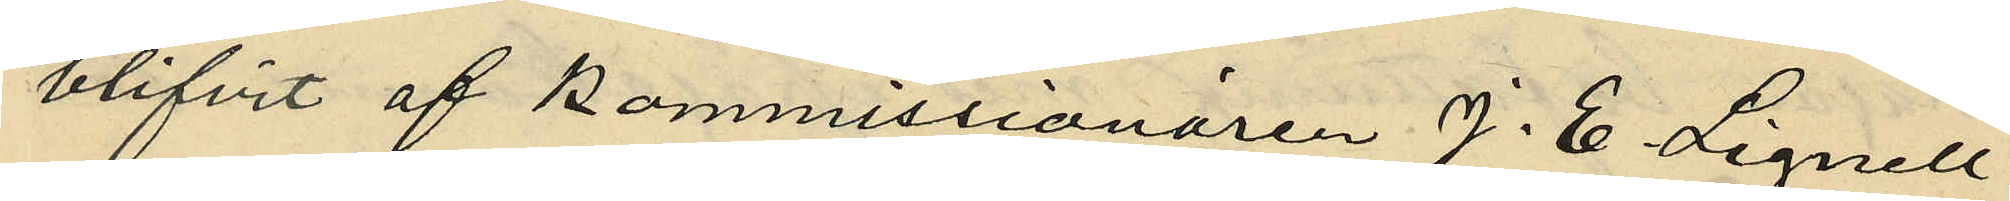blifvit af kommissionären J. E. Lignell
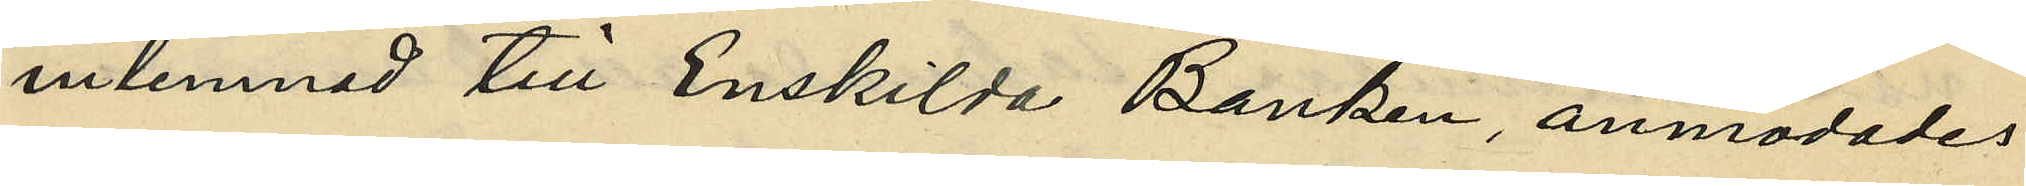inlemnad till Enskilda Banken, anmodades
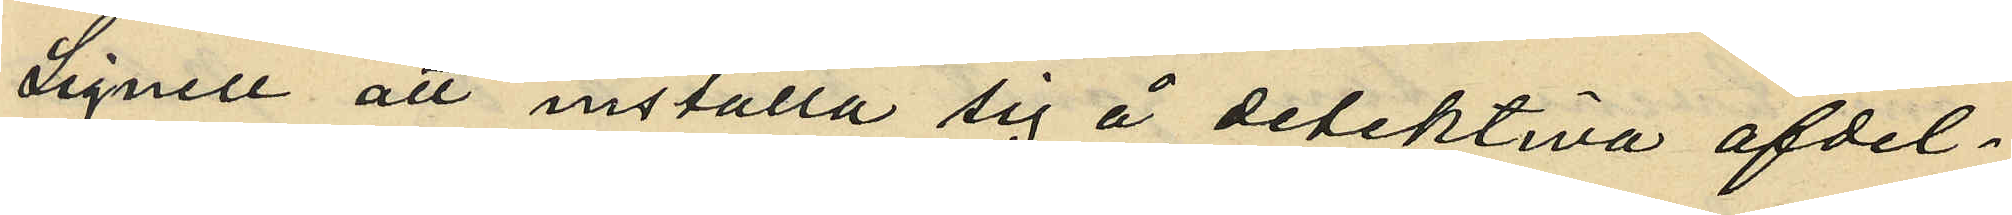Lignell att inställa sig å detektiva afdel¬
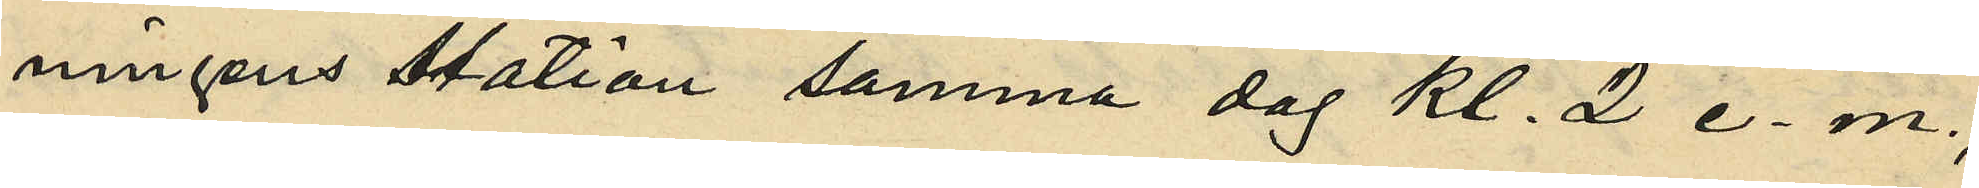ningens station samma dag kl. 2 e. m,
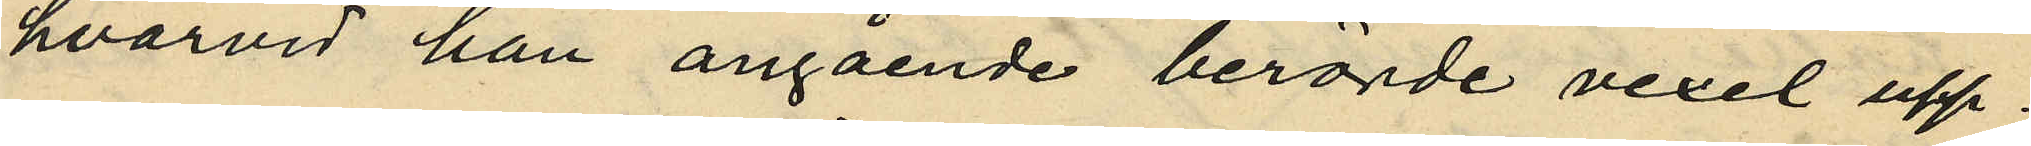hvarvid han angående berörde vexel upp¬
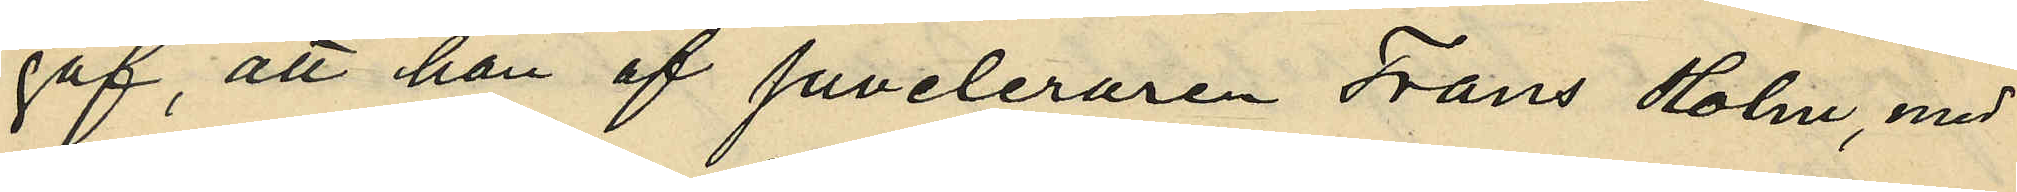gaf, att han af Juveleraren Frans Holm, med
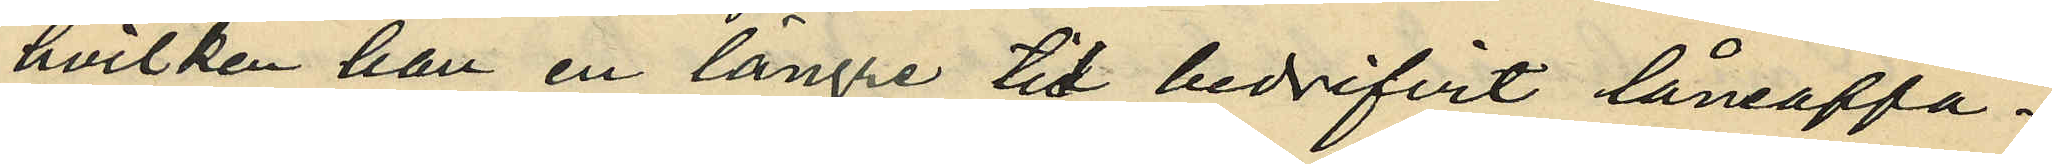hvilken han en längre tid bedrifvit låneaffä¬
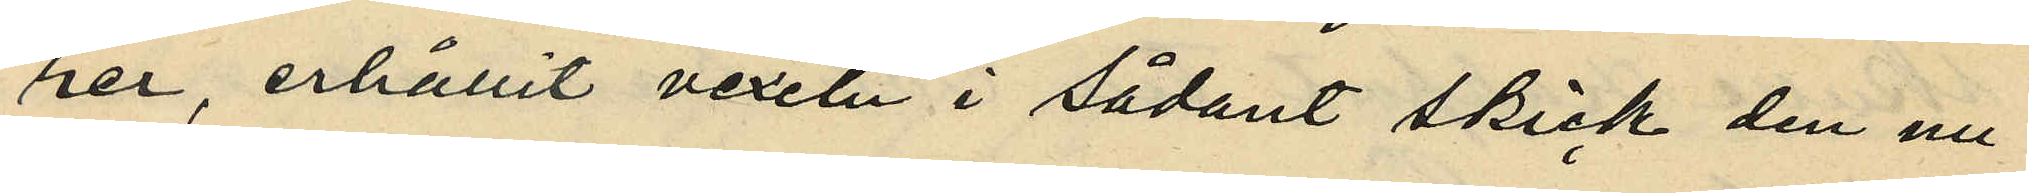rer, erhållit vexeln i sådant skick den nu
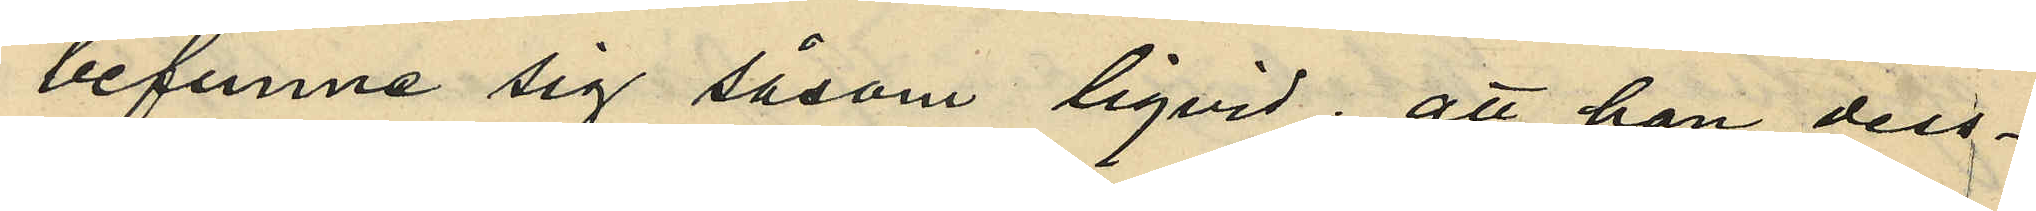befunne sig såsom liqvid; att han dess¬
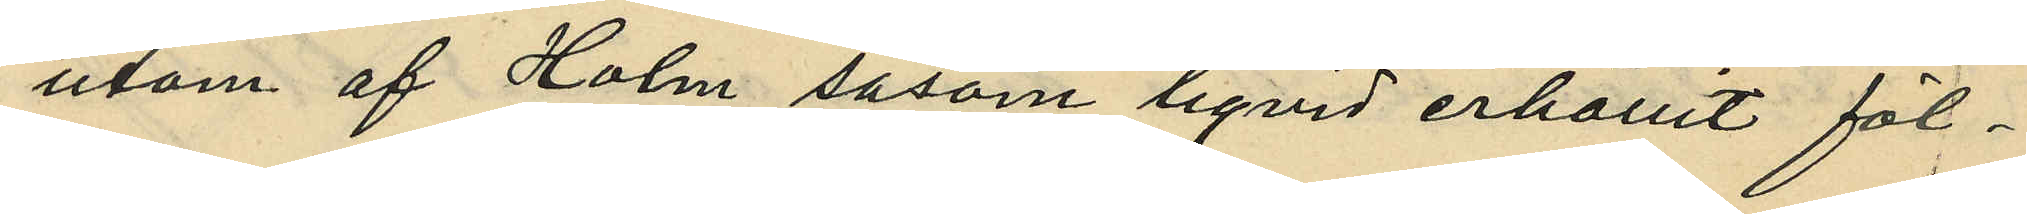utom af Holm såsom liqvid erhållit föl¬
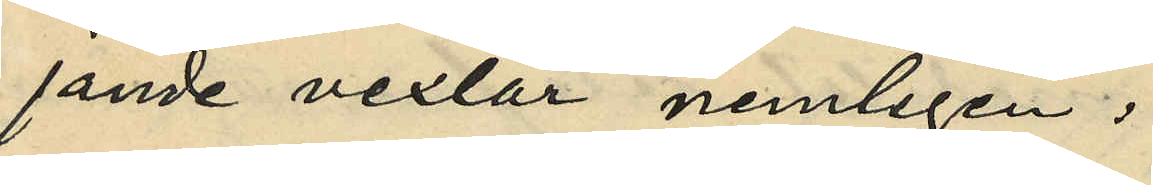jande vexlar nemligen:
